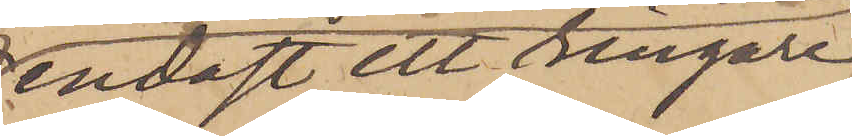endast ett ringare
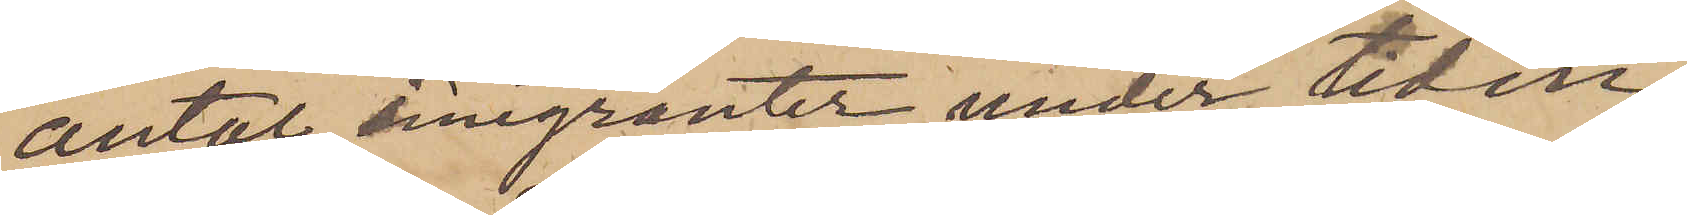antal emigranter under tiden,
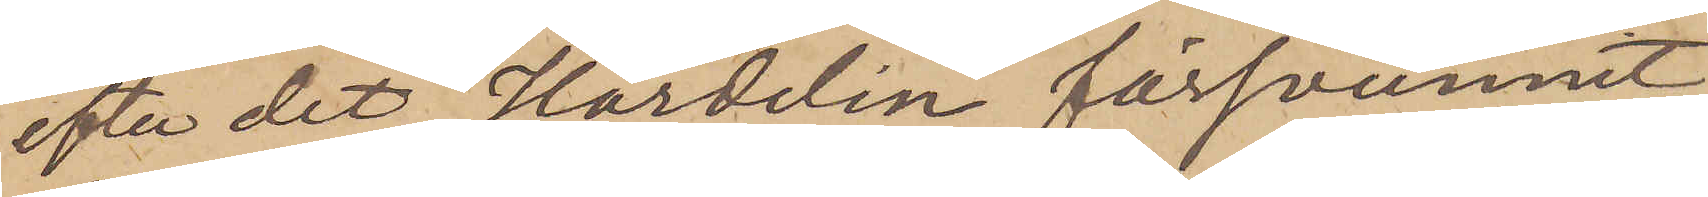efter det Härdelin försvunnit,
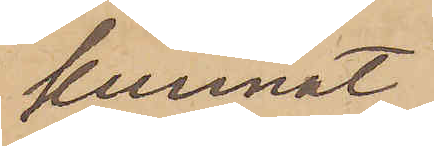kunnat
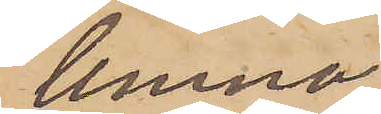lemna
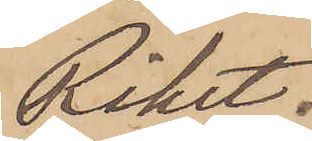Riket.
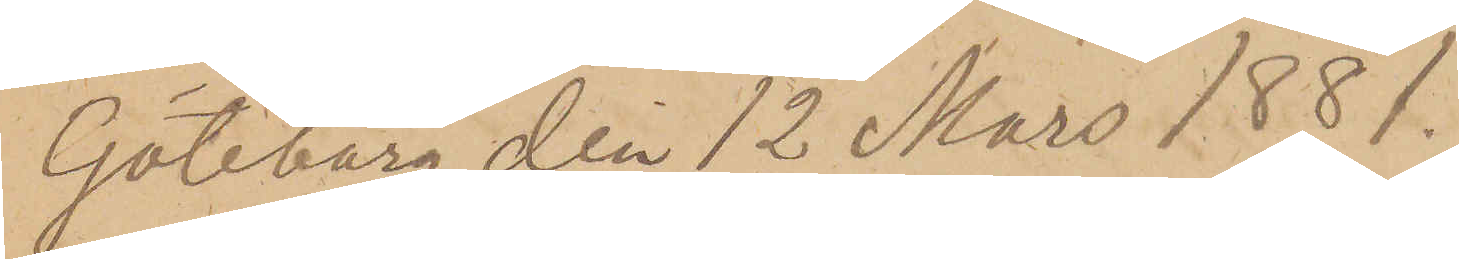Göteborg den 12 Mars 1881.
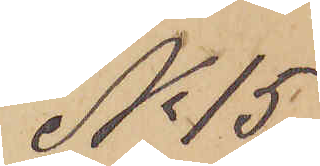No 15
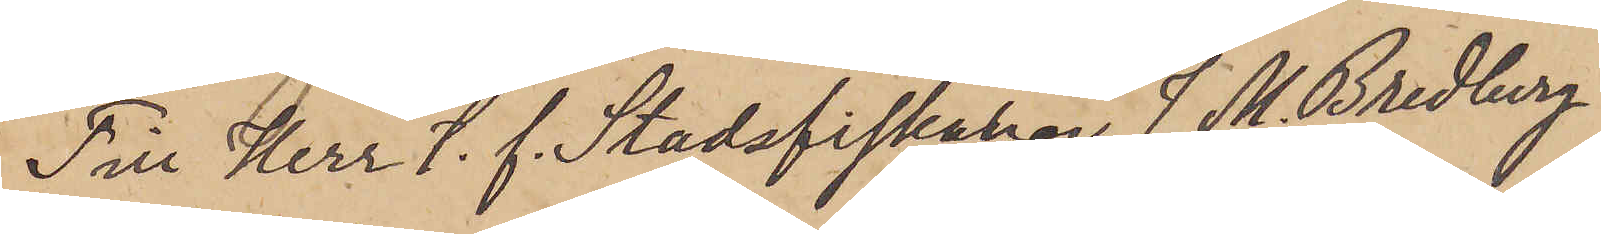Till Herr T. f. Stadsfiskalen J. M. Bredberg
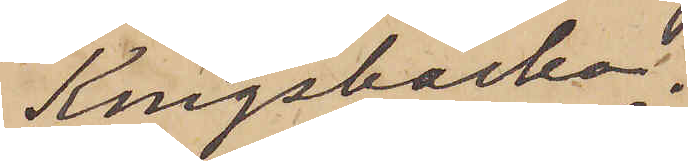Kungsbacka.
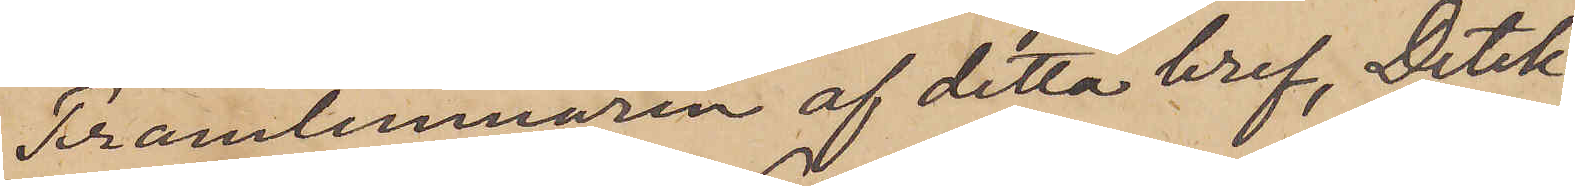Framlemnaren af detta bref, Detek¬
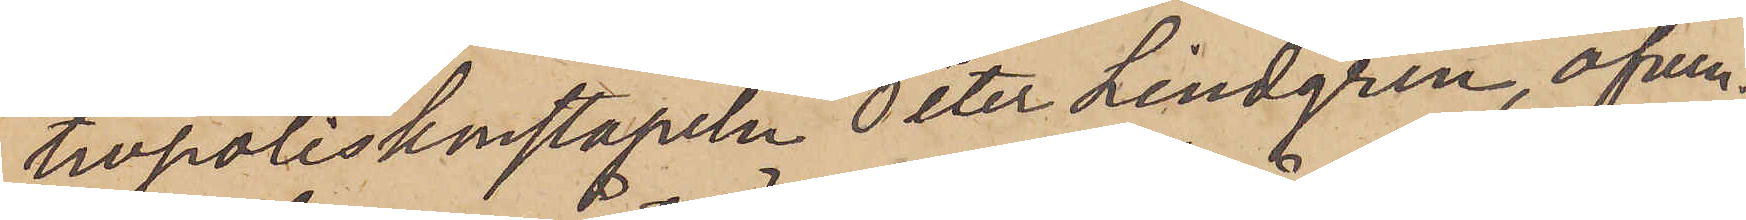tivpoliskonstapeln Peter Lindgren, äfven¬
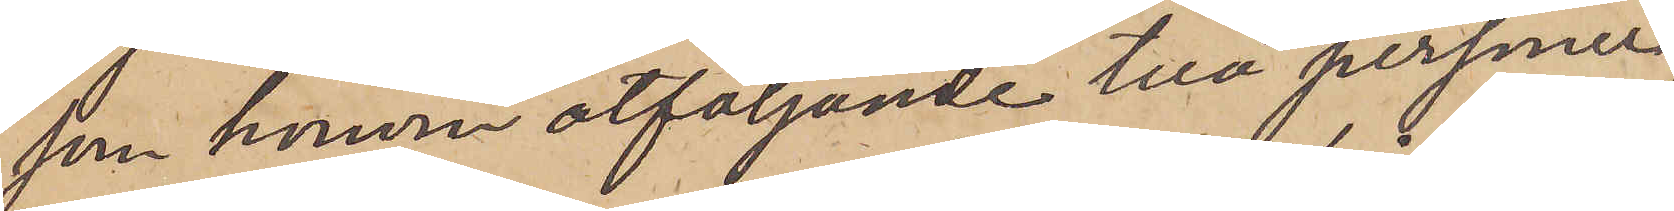som honom åtföljande två personer,
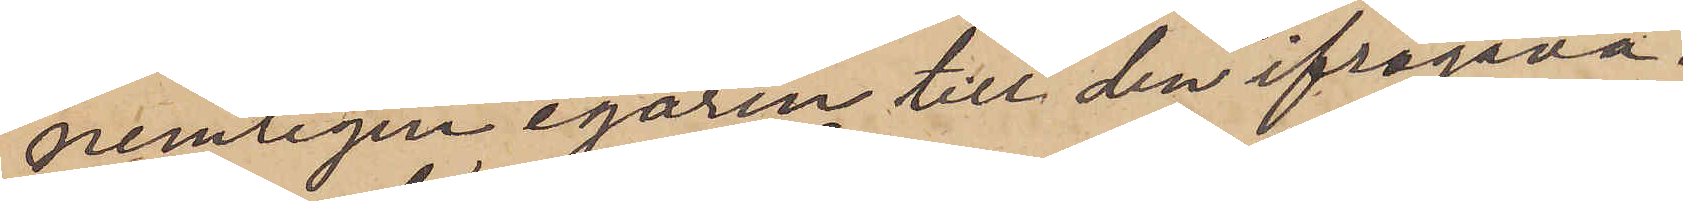nemligen egaren till den ifrågava¬
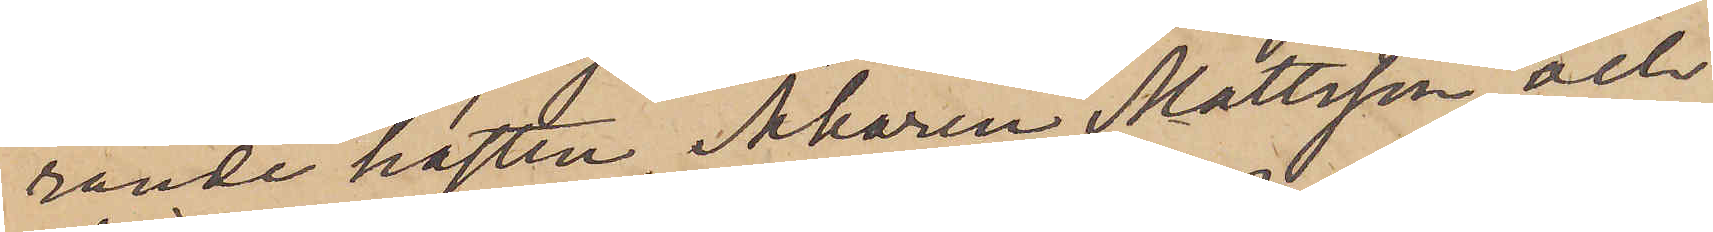rande hästen, Åkaren Mattsson, och
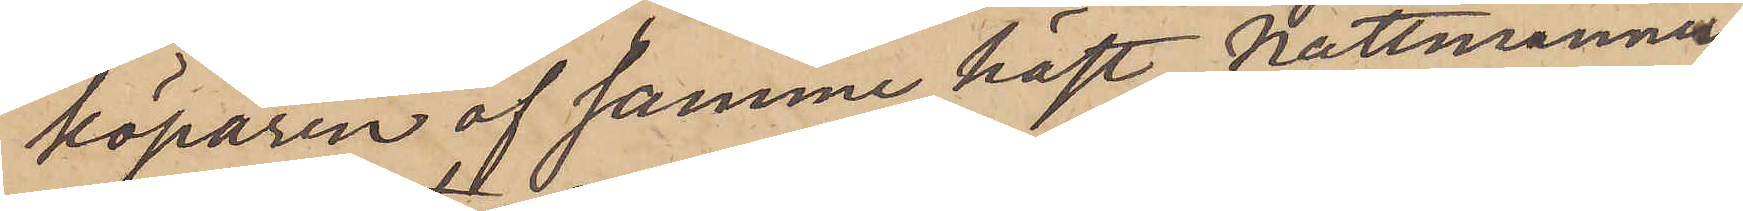köparen af samme häst, Nattmannen
